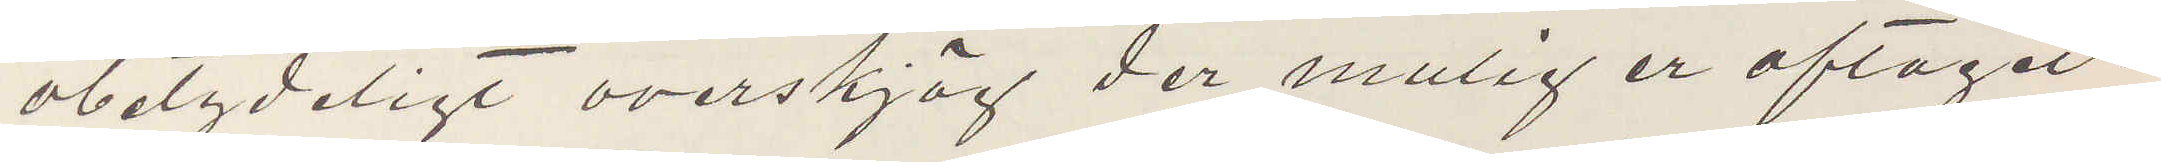obetydeligt overskjäg der mulig er aftaget.
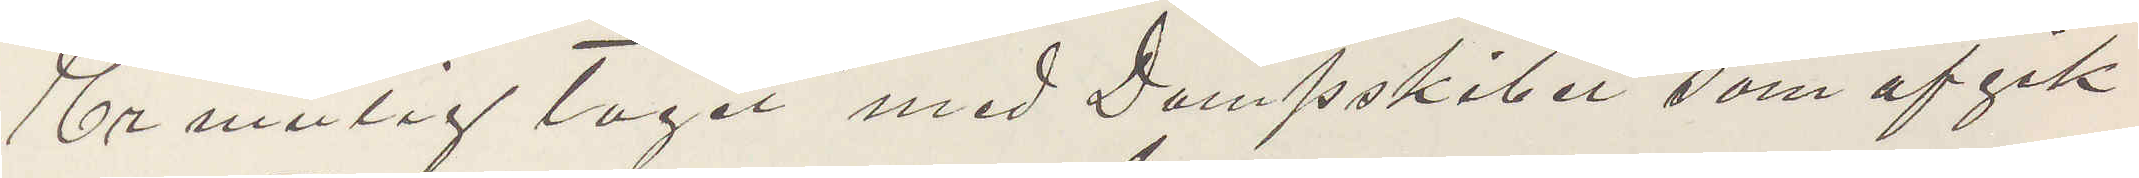Er mulig tagit med Dampskiber som afgik
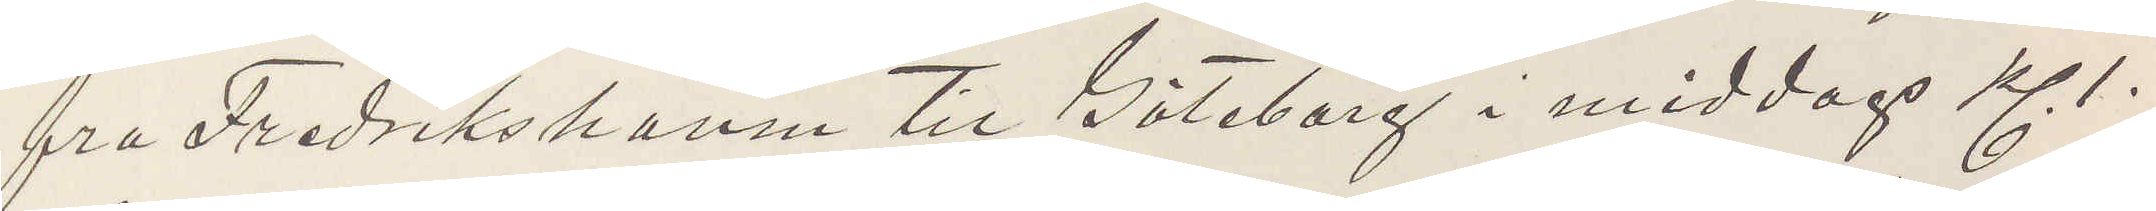fra Fredrikshamn til Göteborg i middags Kl 1.
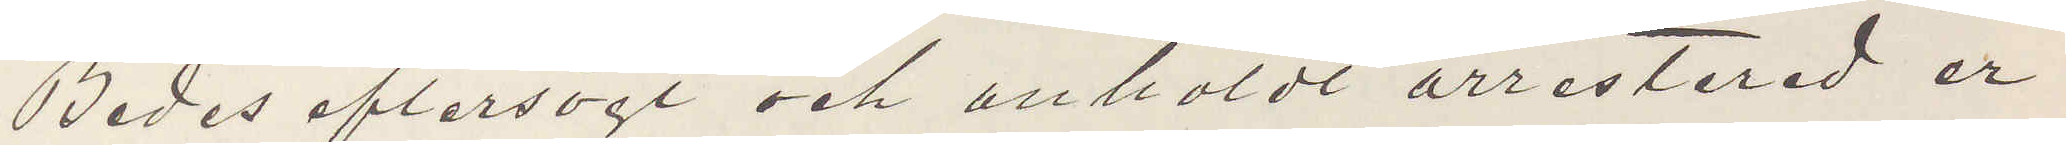Bedes eftersogt och anholdt arresterad er
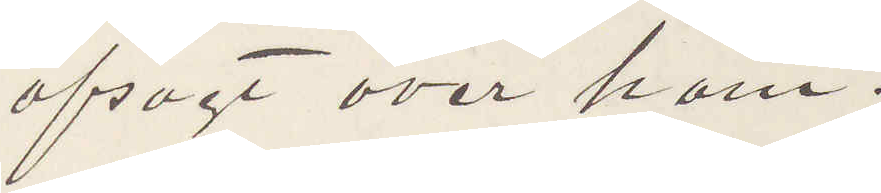afsogt over ham.
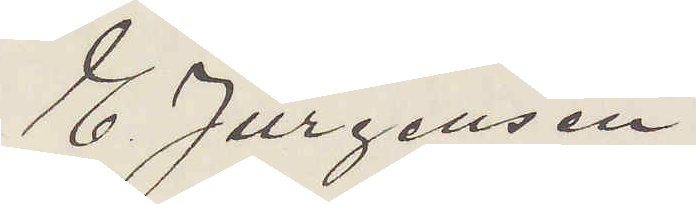E Jürgensen
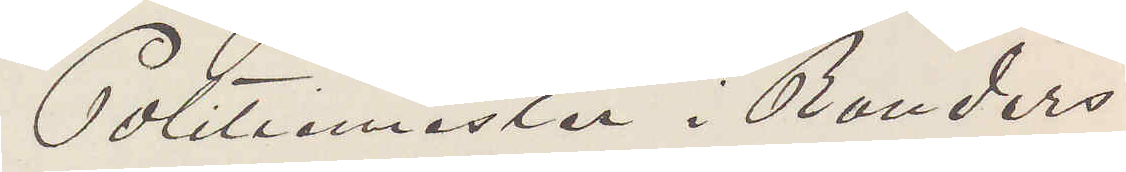Politiimäster i Randers
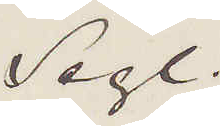Segl.
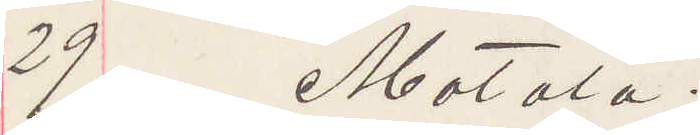29 Motala.
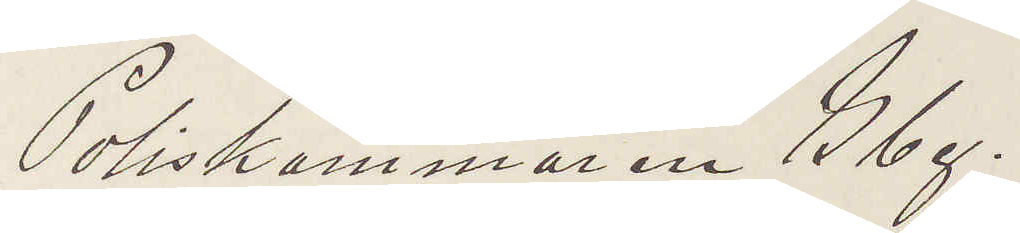Poliskammaren Gbg.
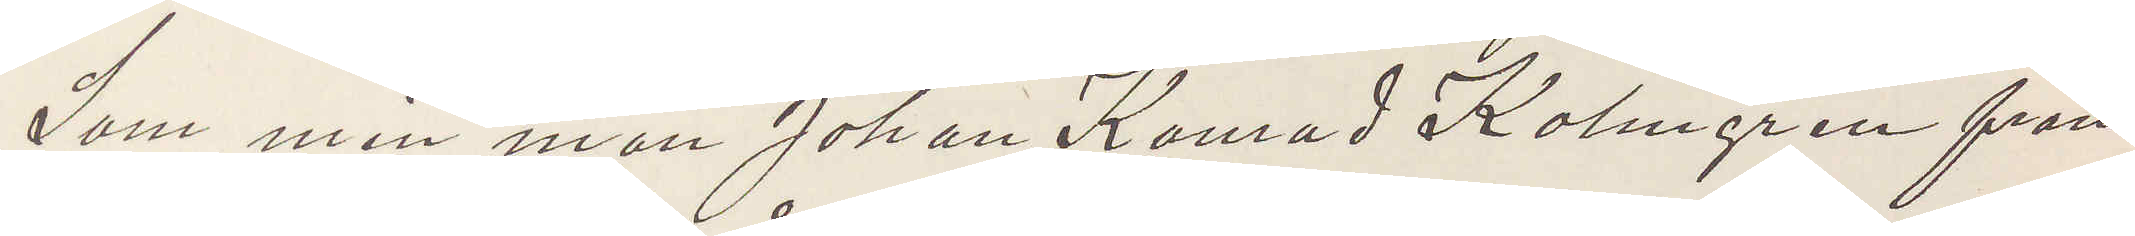Som min man Johan Konrad Kolmgren från
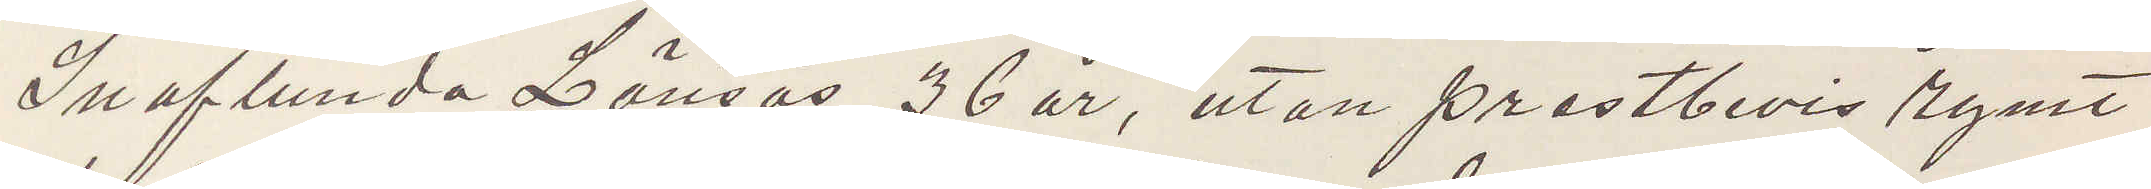Snaflunda Lönsos, 36 år, utan prestbevis rymt
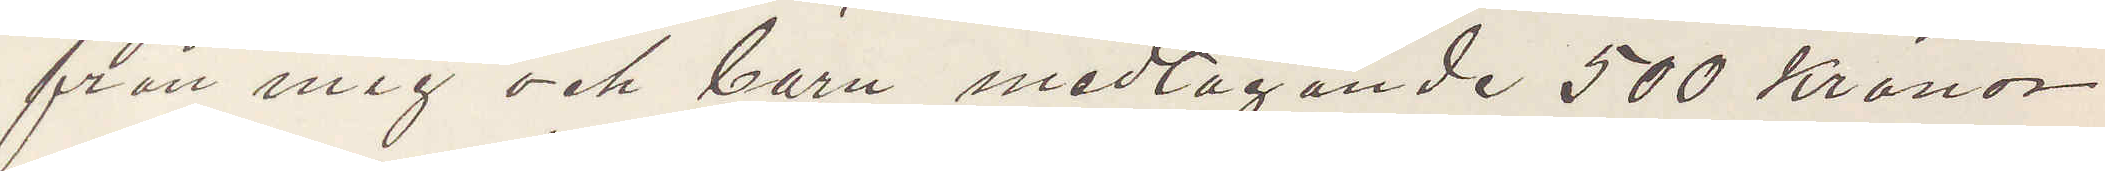från mig och barn medtagande 500 Kronor
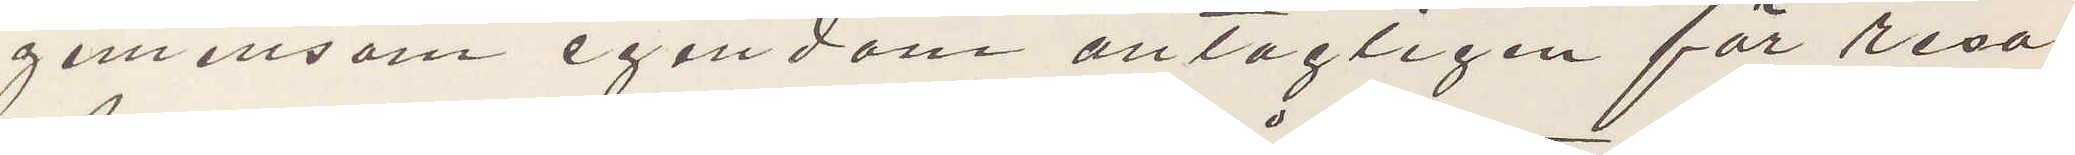gemensom egendom antagligen för resa
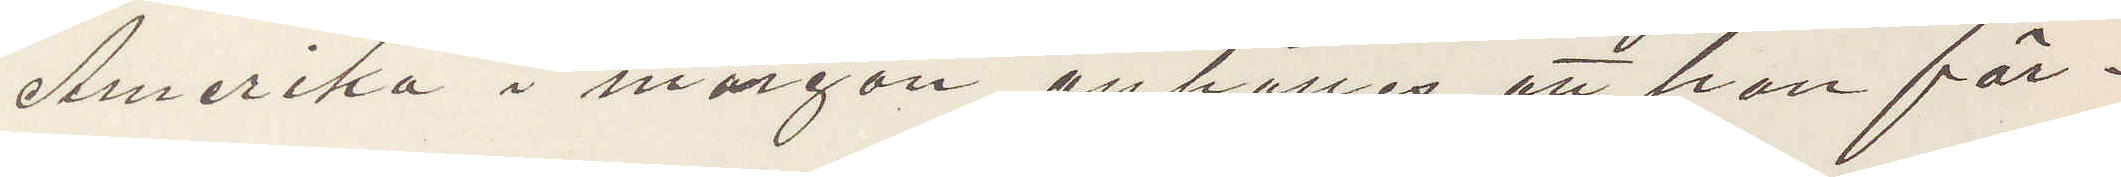Amerika i morgon, anhålles att han för¬
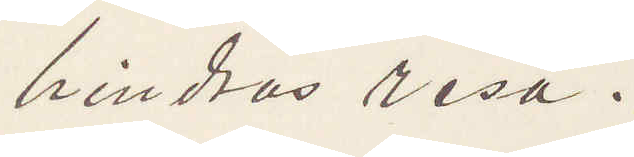hindras resa.
